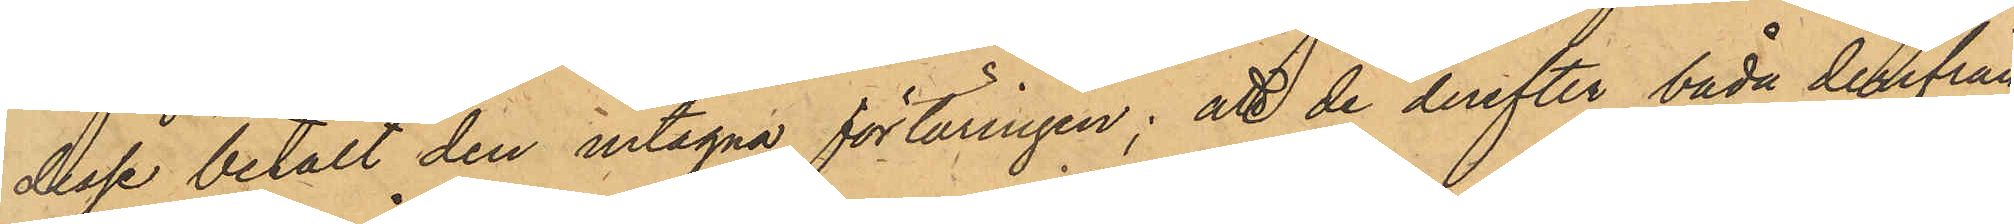desse betalt den intagna förtäringen; att de derefter båda derfrån
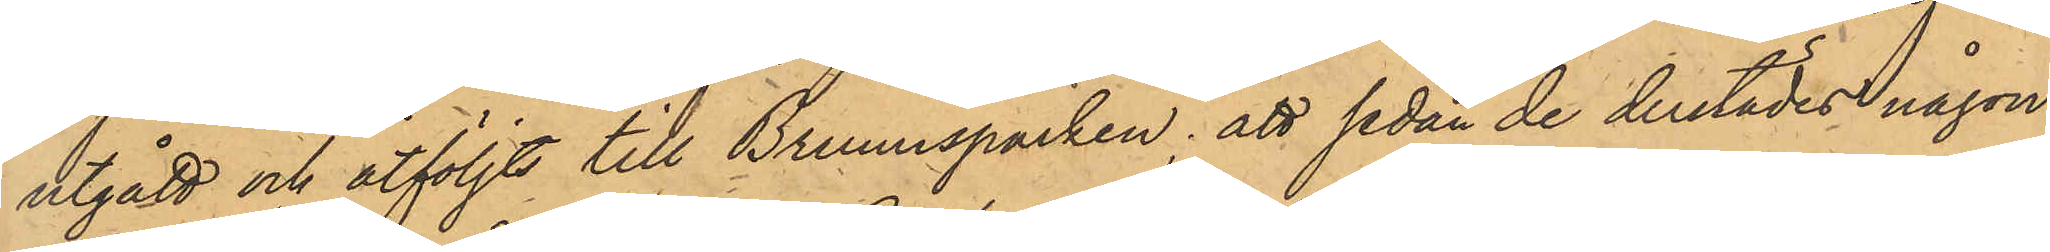utgått och åtföljts till Brunnsparken; att sedan de derstädes någon
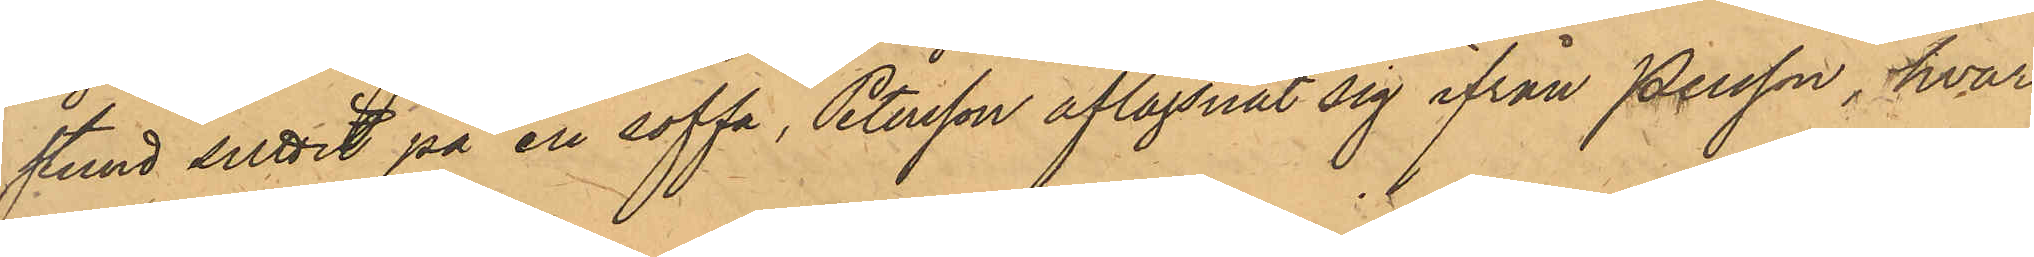stund suttit på en soffa, Petersson aflägsnat sig ifrån Persson, hvar¬
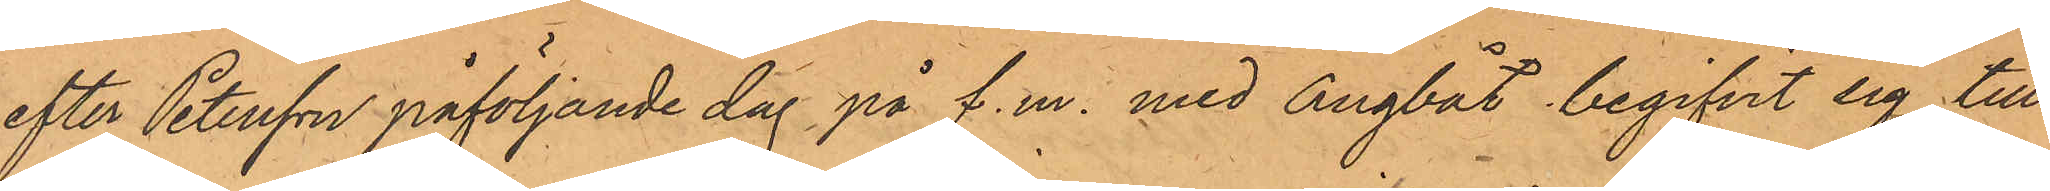efter Petersson påföljande dag på f.m. med ångbåt begifvit sig till¬
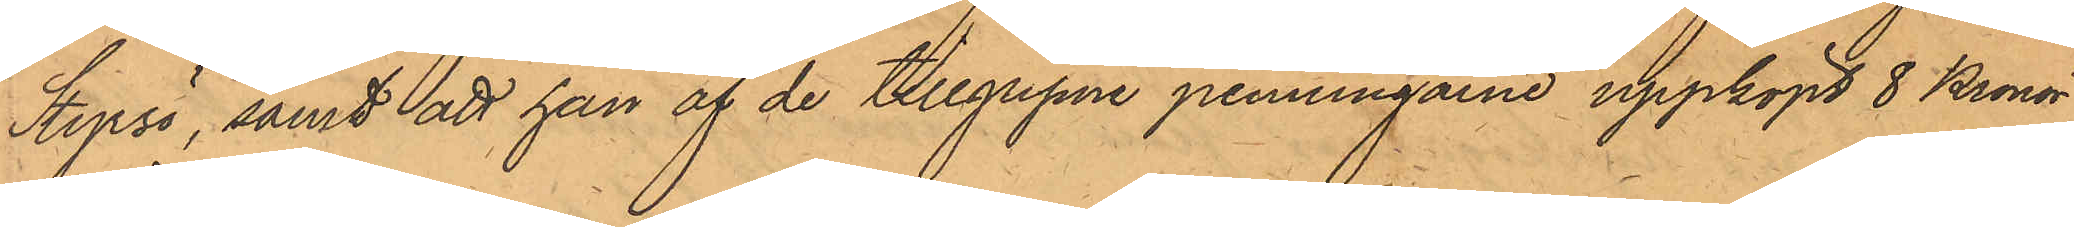Styrsö, samt att han af de tillgripne penningarne uppköpt 8 Kronor
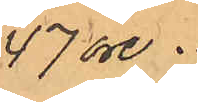47 öre.
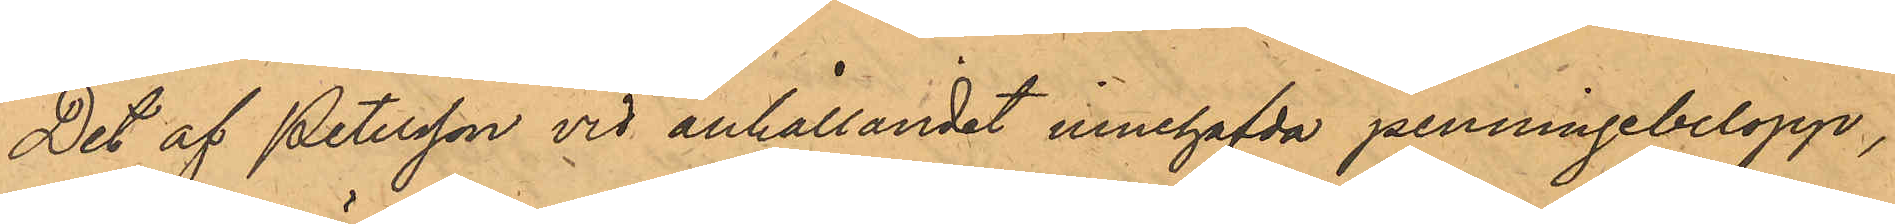Det af Petersson vid anhållandet innehafda penningebelopp
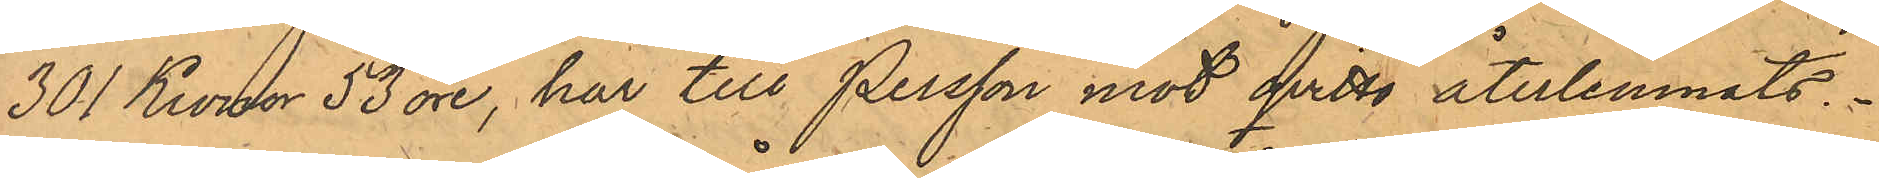301 Kronor 53 öre, har till Persson mot qvitto återlemnats.
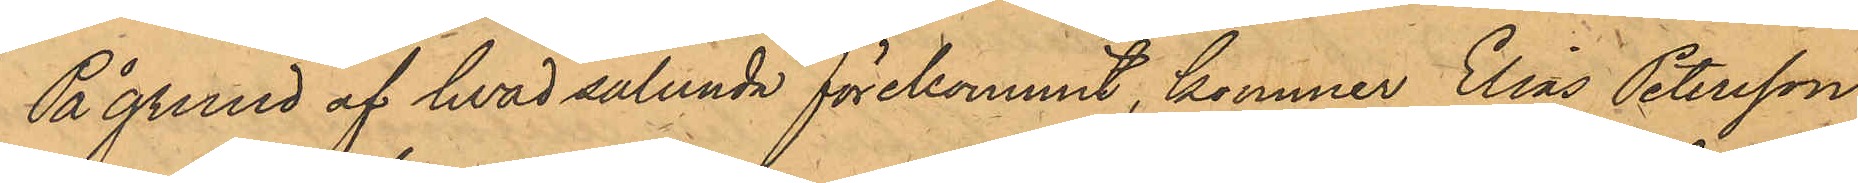På grund af hvad sålunda förekommit, kommer Elias Petersson
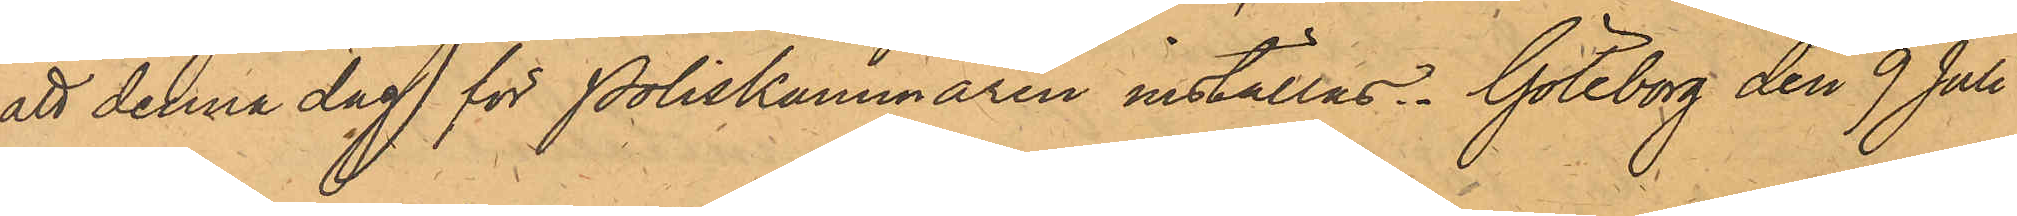att denna dag för Poliskammaren inställas. Göteborg den 9 Juli
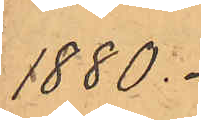1880.
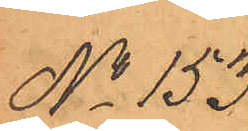No 153.
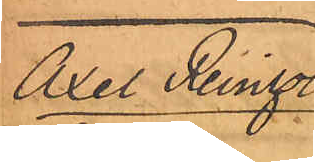Anders Reinhold
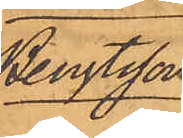Bengtsson
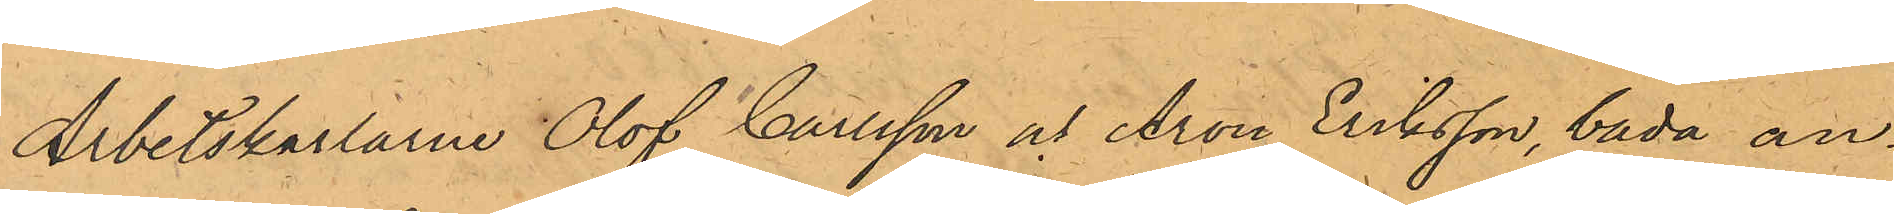Arbetskarlarne Olof Carlsson och Aron Eriksson, båda an¬
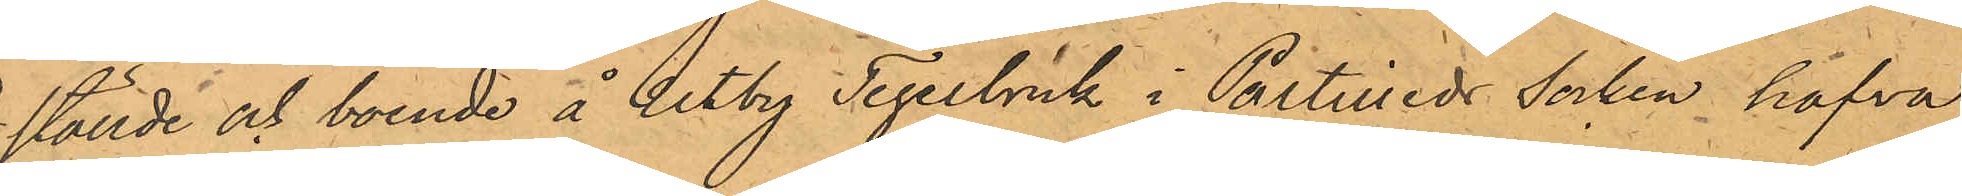ställde och boende å Utby Tegelbruk i Partilleds Socken hafva
